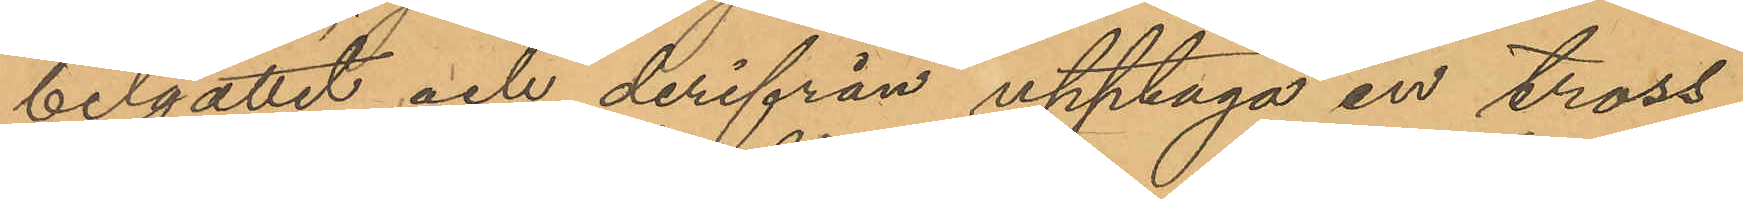belgattet och derifrån upptaga en tross,
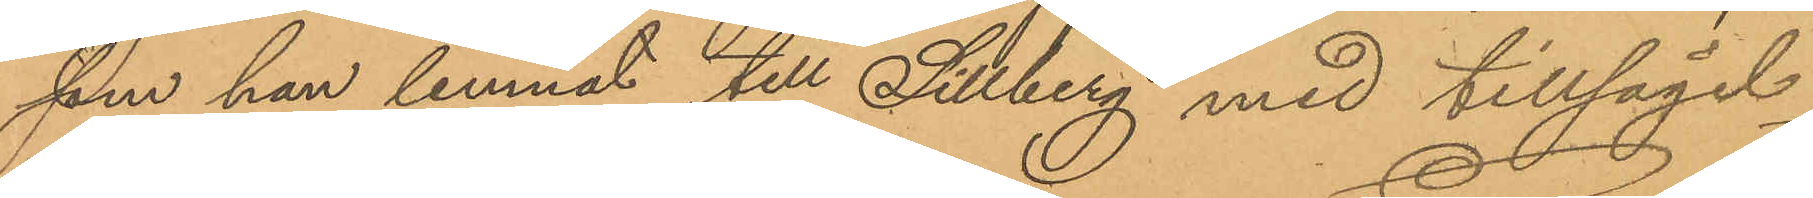som han lemnat till Gillberg med tillsägel¬
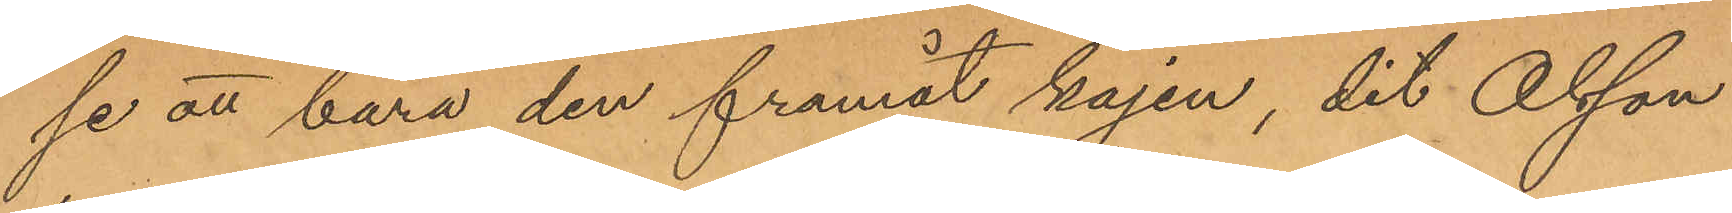se att bära den framåt kajen, dit Olsson
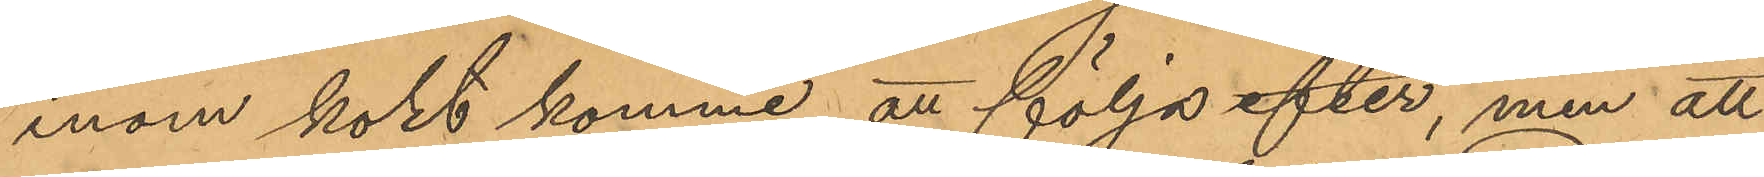inom kort komme att följa efter, men att
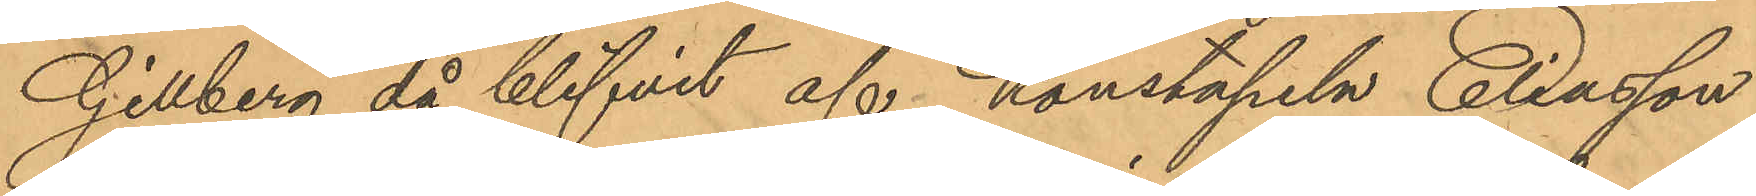Gillberg då blifvit af konstapeln Eliasson
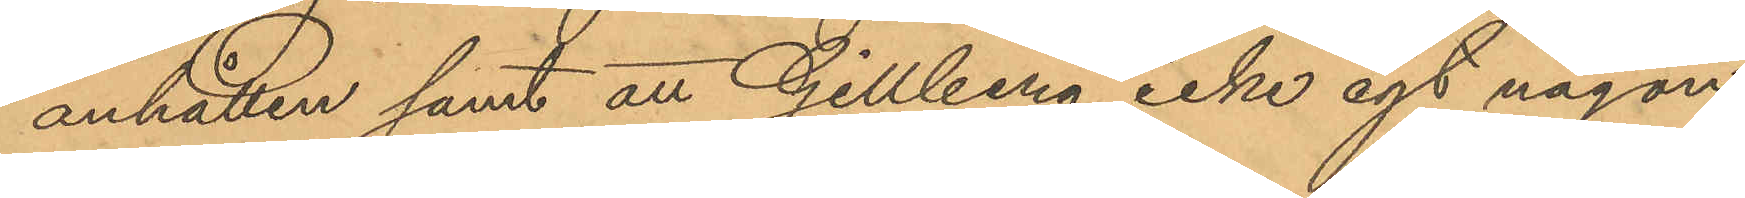anhållen samt att Gillberg icke egt någon
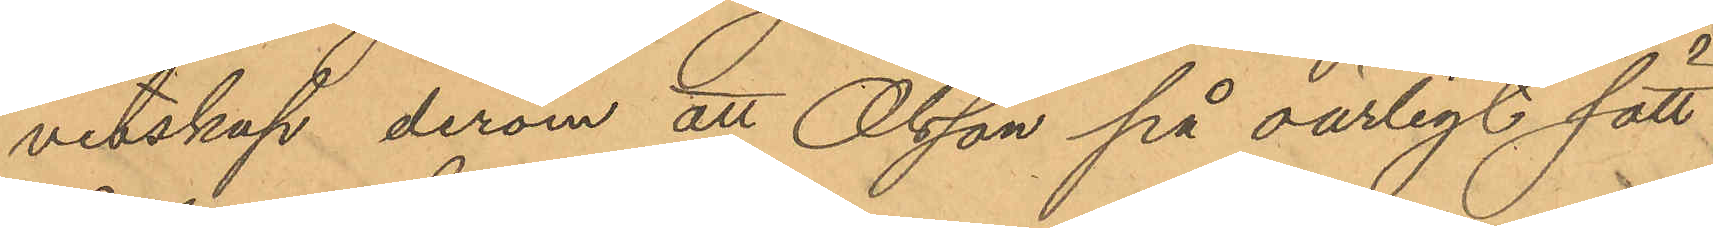vetskap derom att Olsson på oärligt sätt
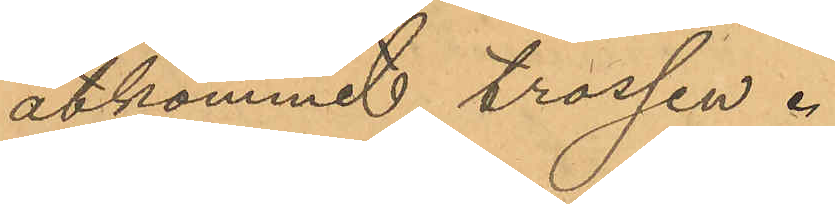åtkommit trossen.
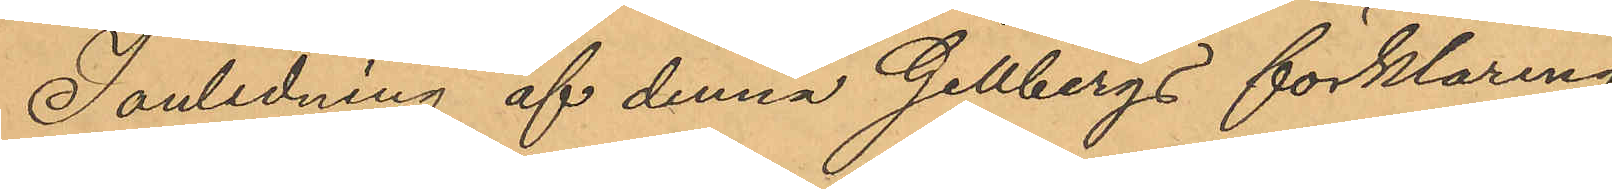I anledning af denna Gillbergs förklaring
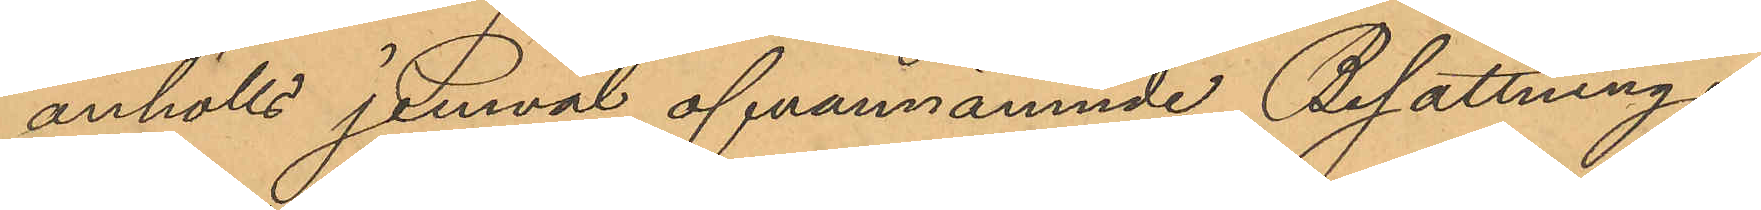anhölls jemväl ofvannämnde Besättnings¬
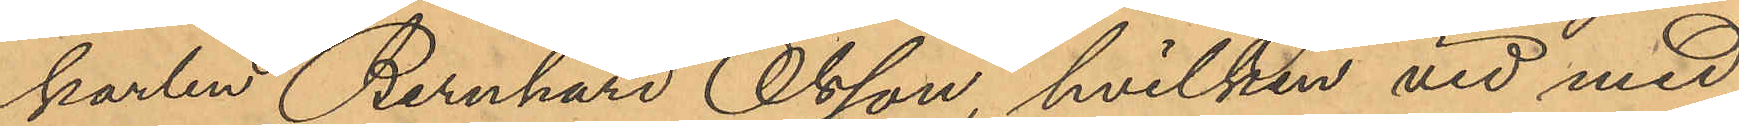karlen Bernhard Olsson, hvilken vid med
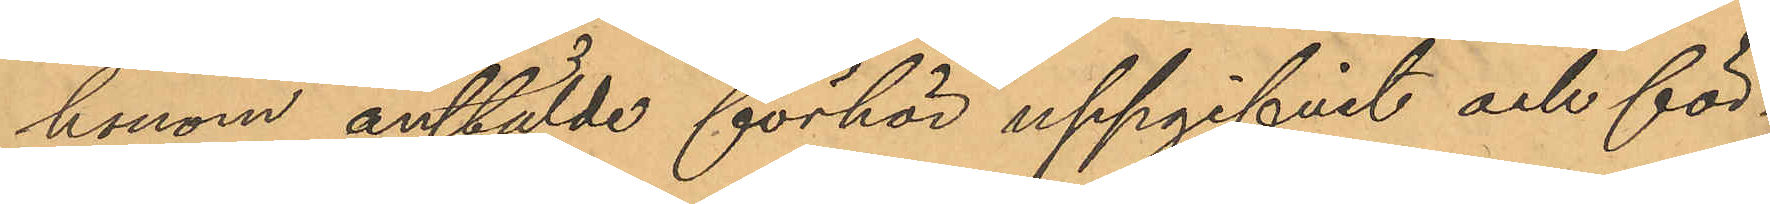honom anstälde förhör uppgifvit och för¬
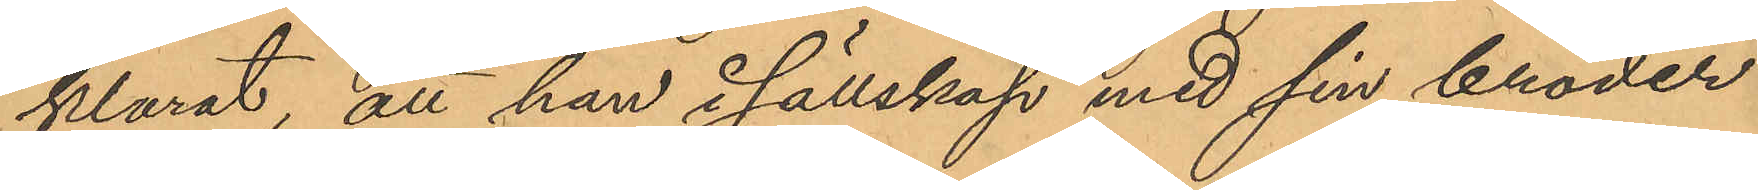klarat, att han i sällskap med sin broder
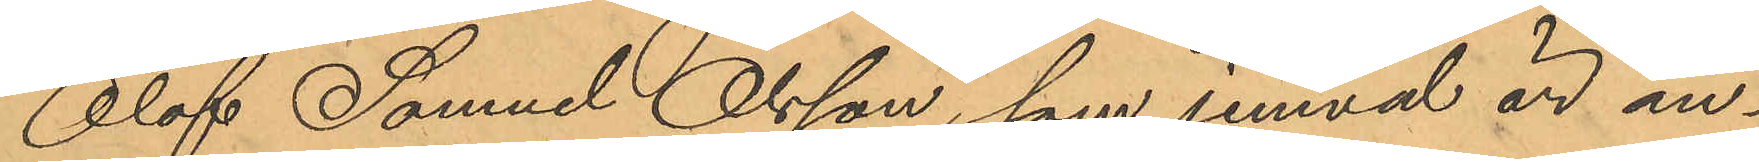Olof Samuel Olsson, som jemväl är an¬
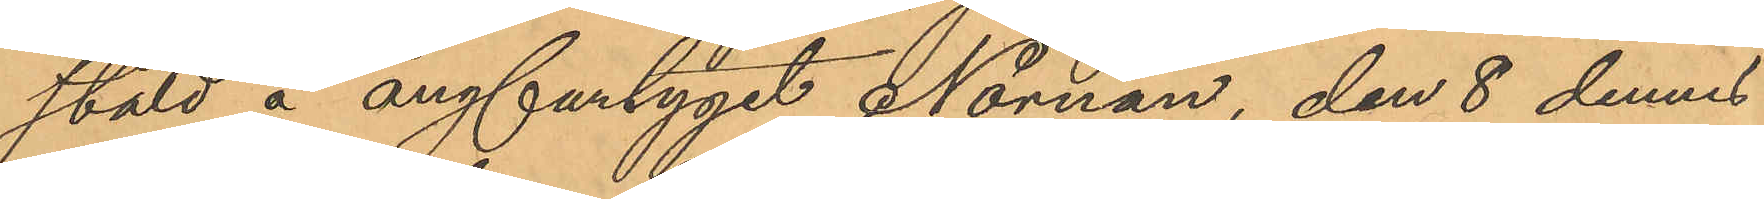stäld å ångfartyget Nornan, den 8 dennes
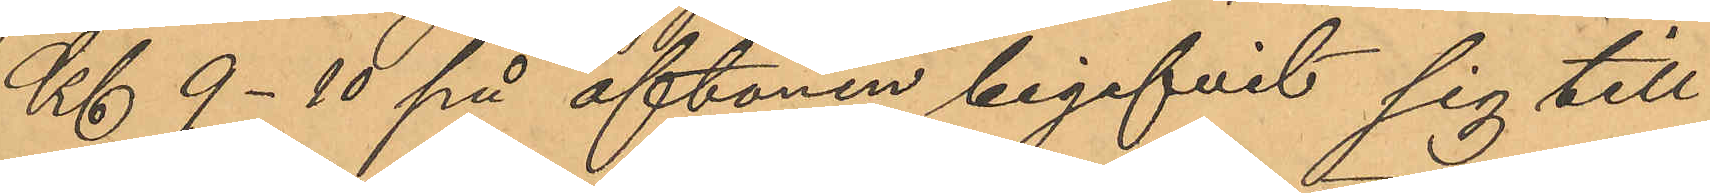Kl 9-10 på aftonen begifvit sig till
